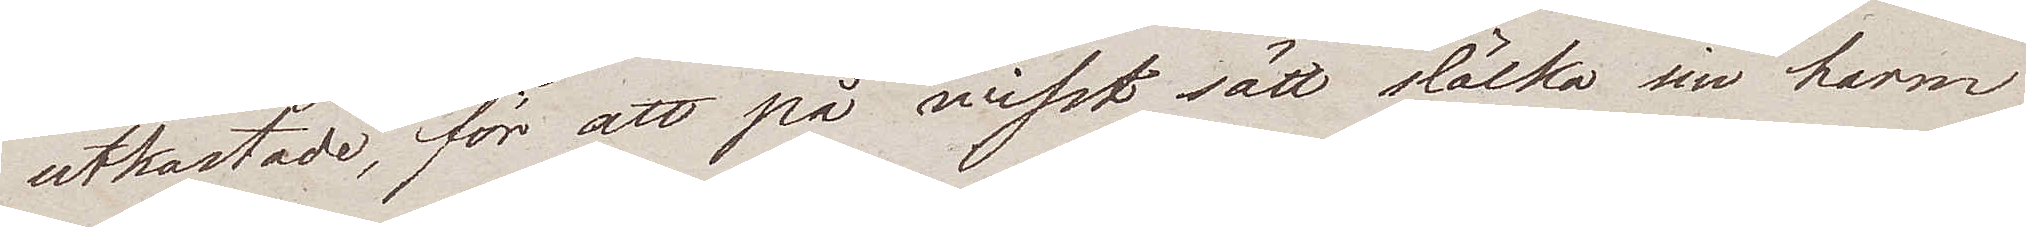utkastade, för att på wisst sätt släcka sin harm
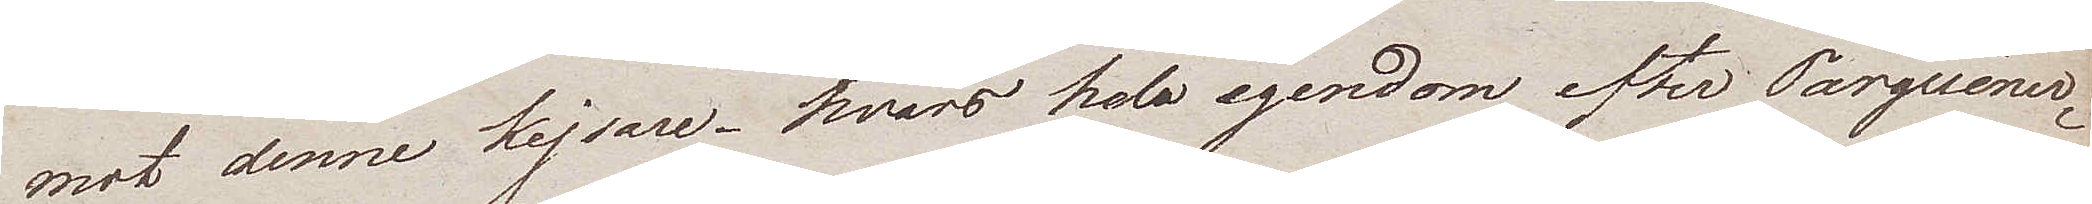mot denne kejsare, hvars hela egendom efter Targuiner¬
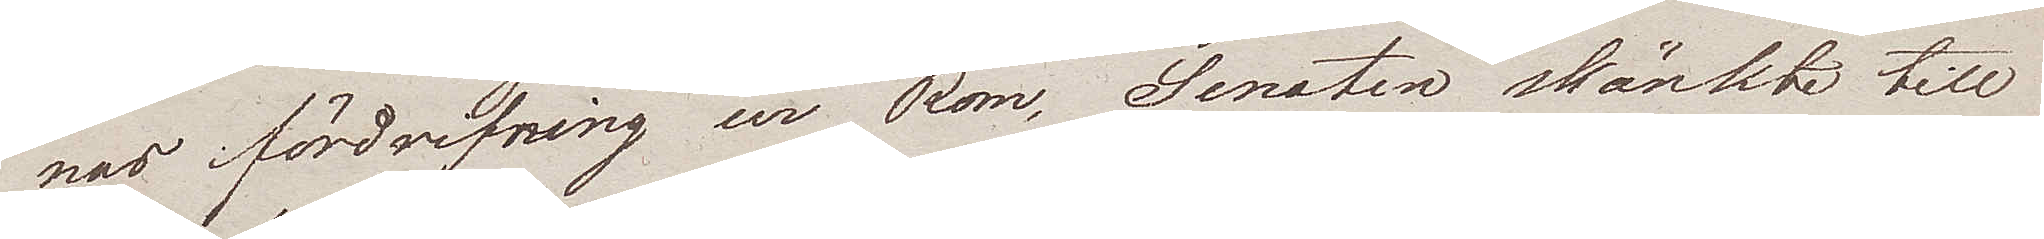nas fördrifning ur Rom, Senaten skänkte till
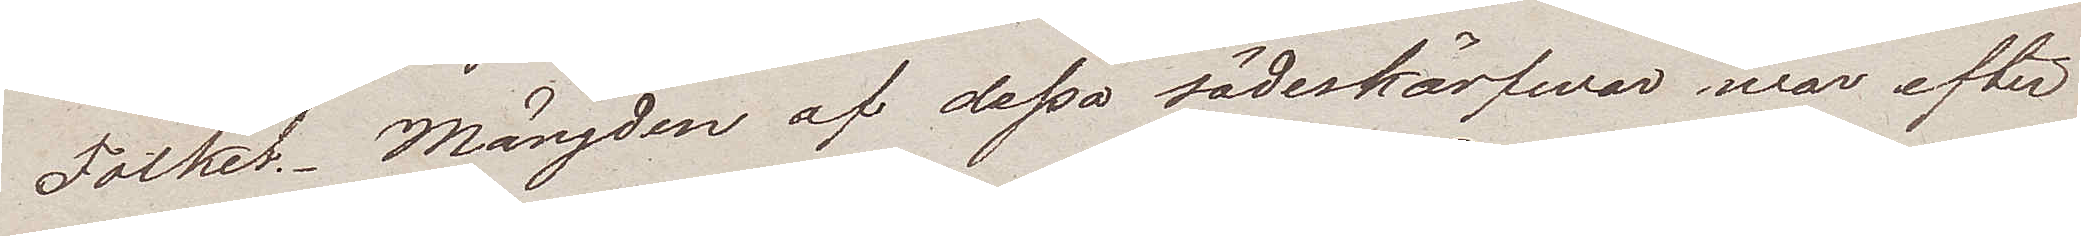Folket. Mängden af dessa sädeskärfwar war efter
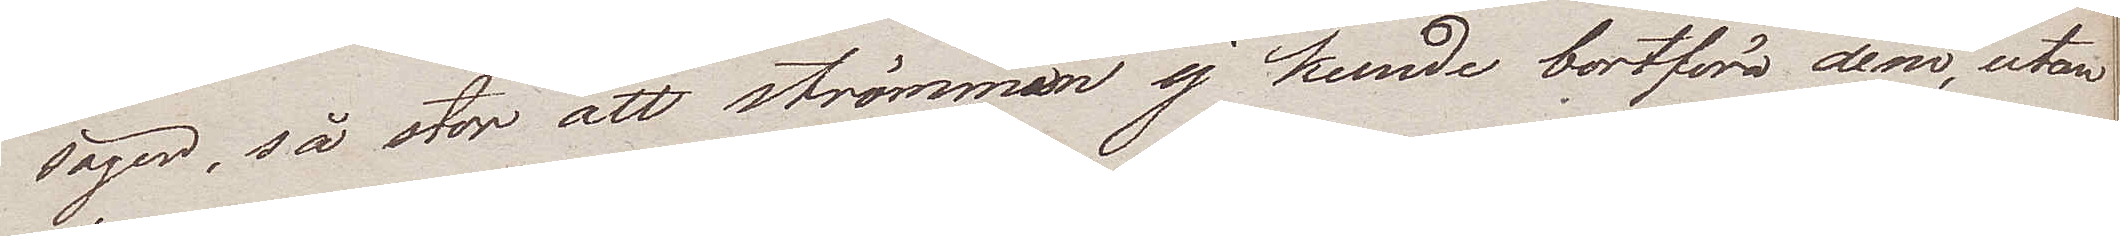sägen, så stor att strömman ej kunde bortföra dem, utan
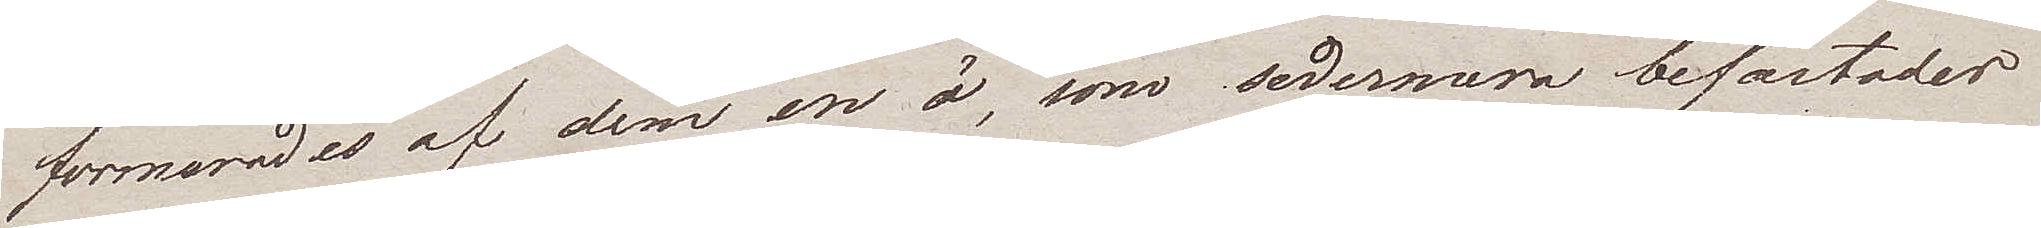formerades af dem en ö, som sedermera befästades
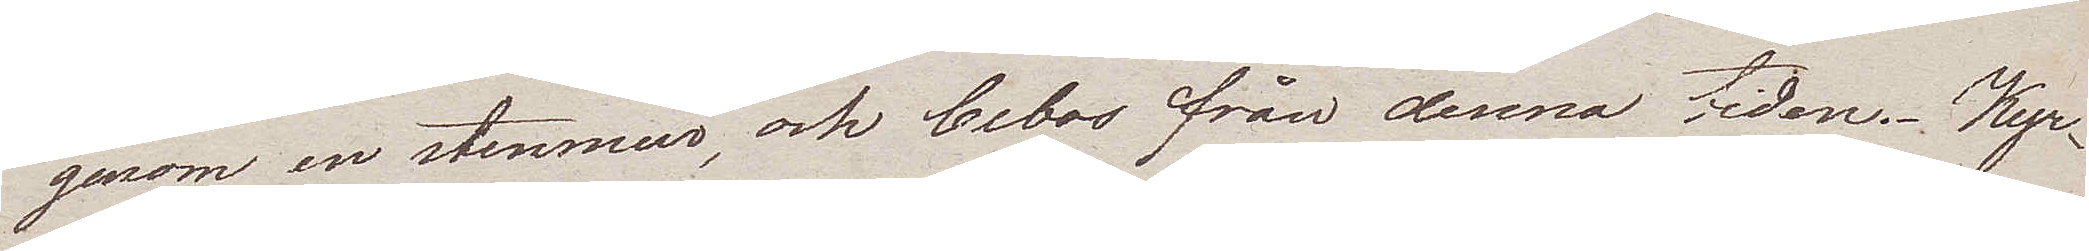genom en stenmur, och bebos från denna tiden.- Kyr¬
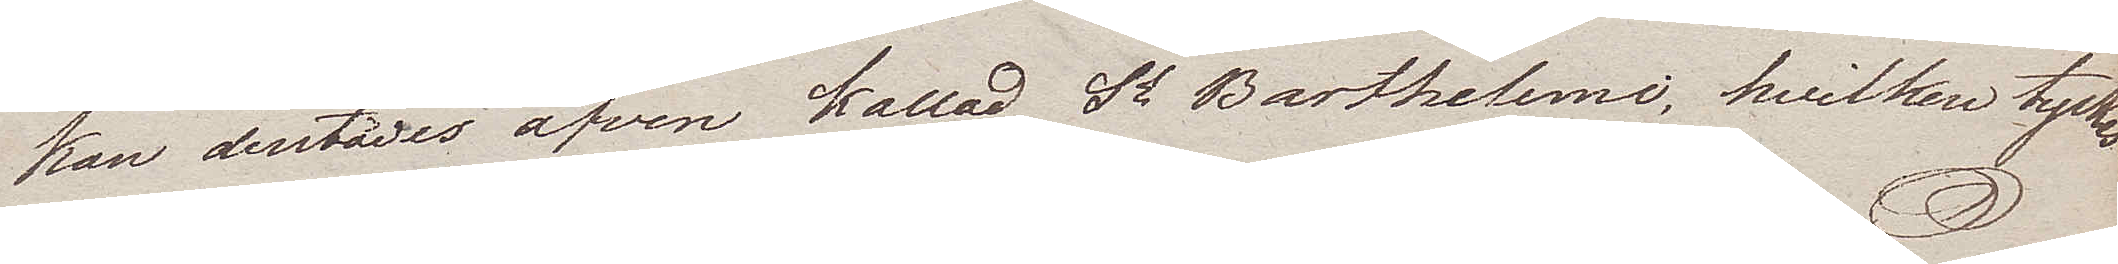kan derstädes äfven kallad St Barthelemi, hvilken tyckes
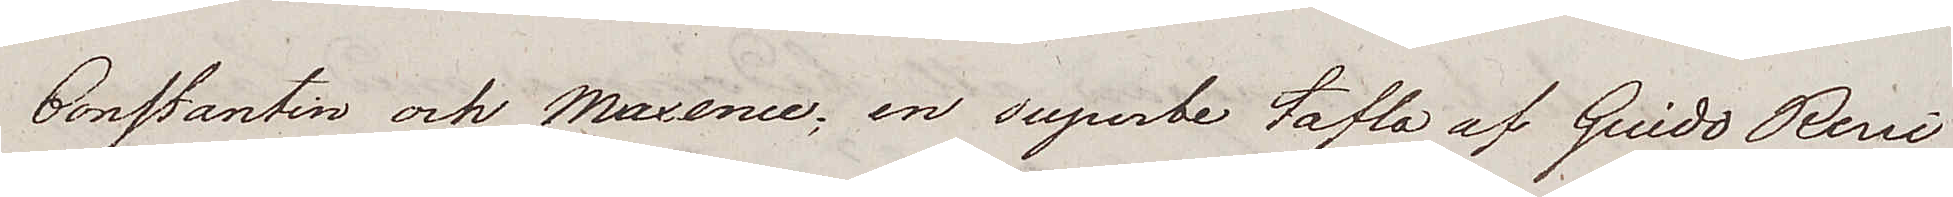Constantin och Maxence; en superbe tafla av Guido Reni
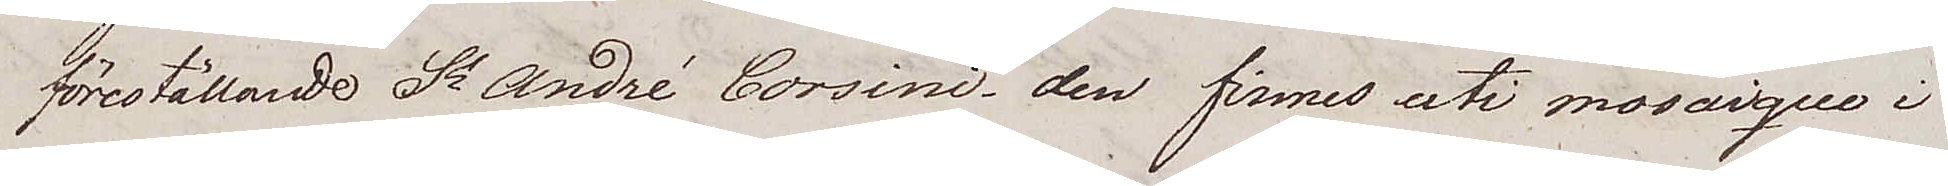föreställande St André Corsini – den finnes uti mosaique i
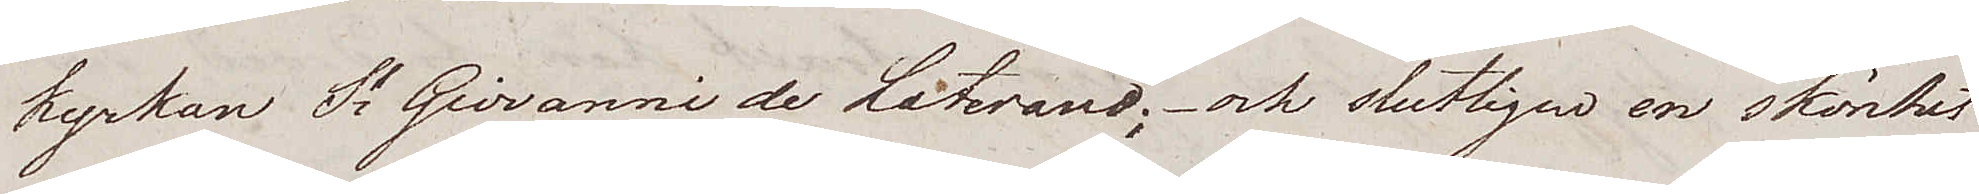kyrkan St Giovanni de Låterano; och slutligen en skönhet
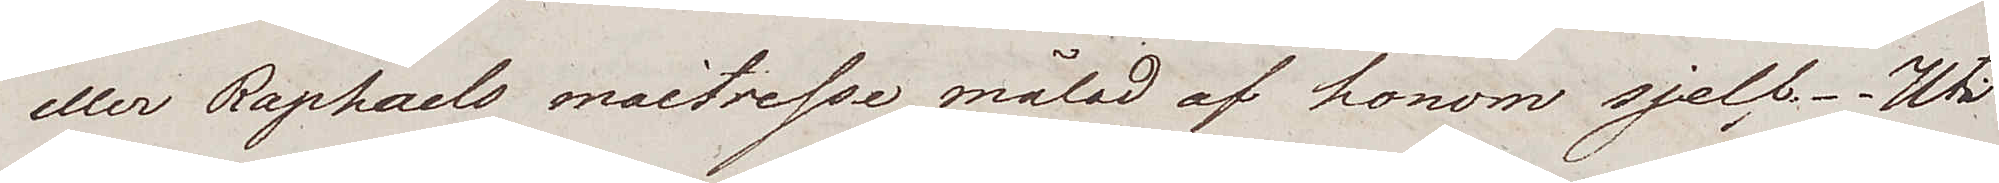eller Raphaels maitresse, målad af honom sjelf. Uti
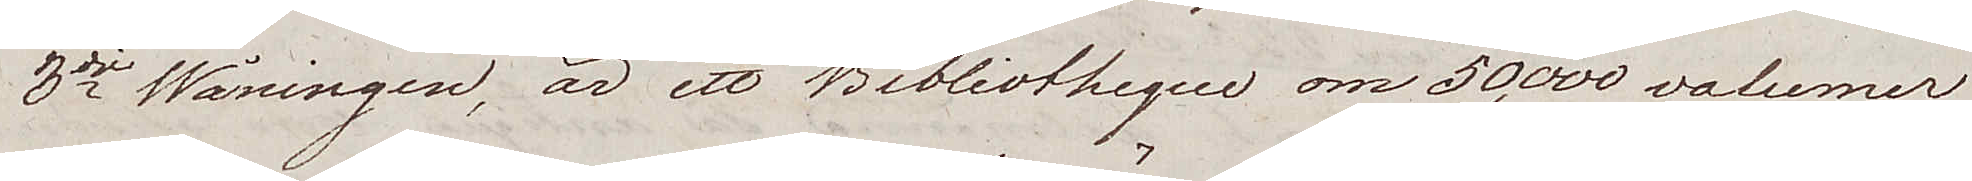3die Wåningen, är ett Bibliotheque om 50,000 volumer
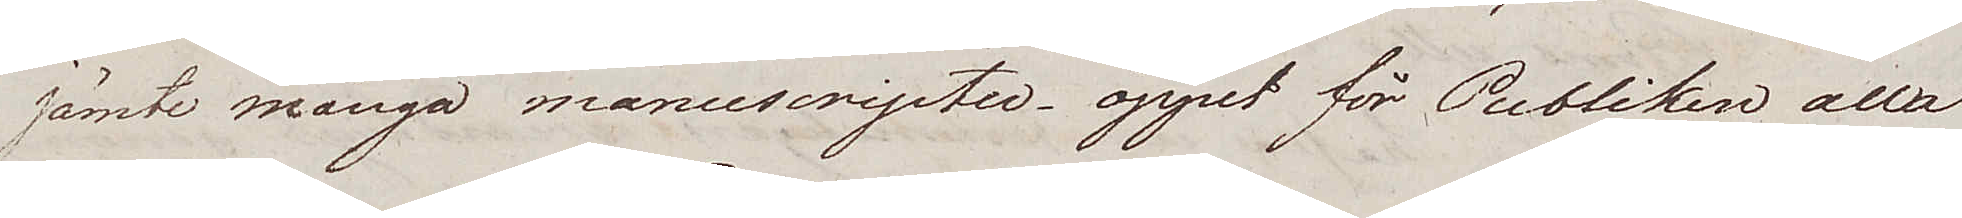jämte många manuscripter, öppet för Publiken alla
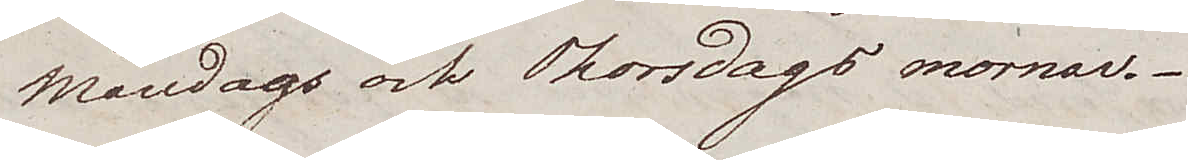Måndags och Thorsdags mornar.
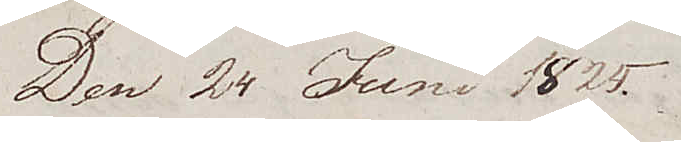Den 24 Juni 1825.
